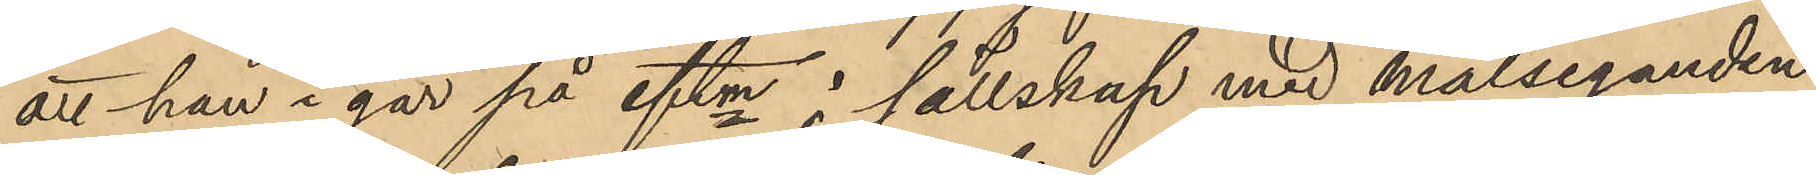att han i går på eftm. i sällskap med Målseganden
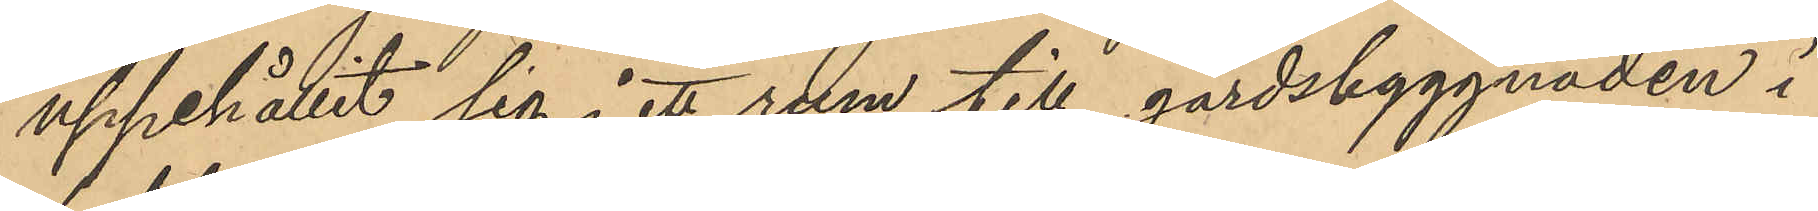uppehållit sig i ett rum till gårdsbyggnaden i
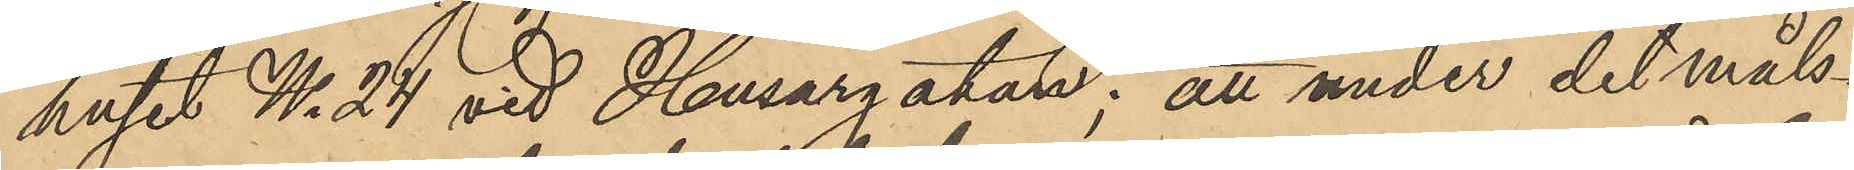huset No 24 vid Husargatan; att under det måls¬
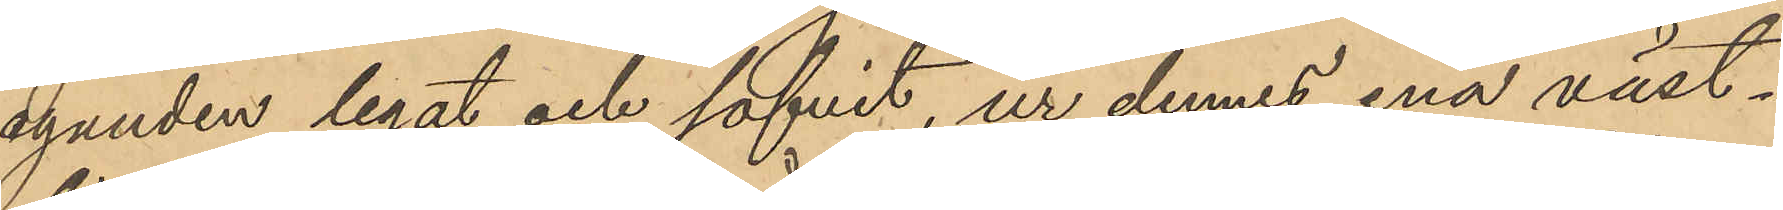eganden legat och sofvit, ur dennes ena väst¬
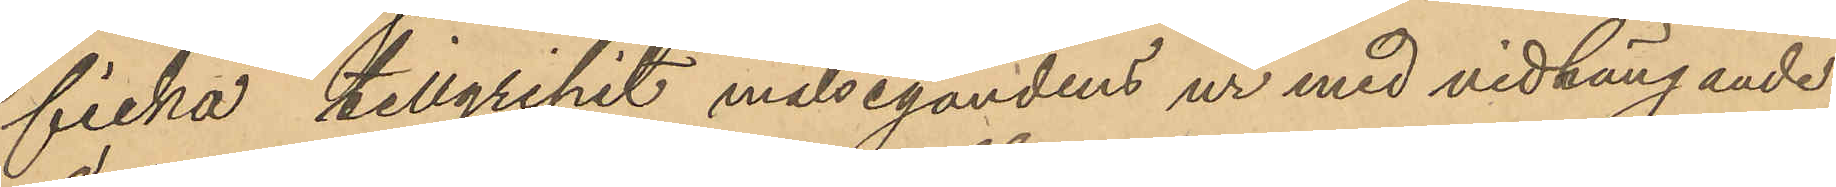ficka, tillgripit målsegandens ur med vidhängande
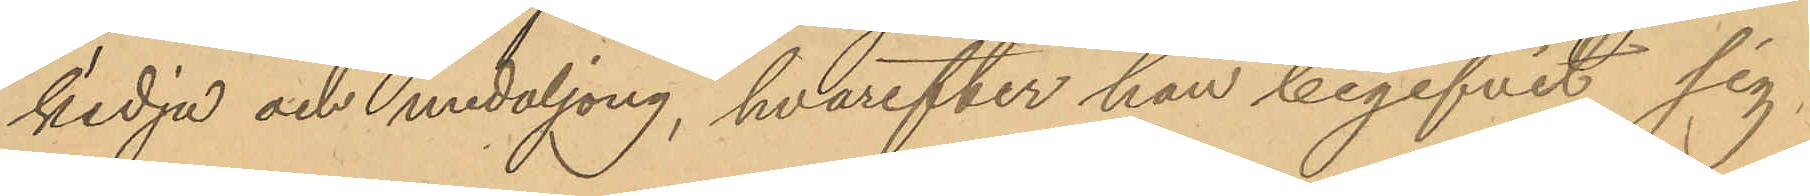kedja och medaljong, hvarefter han begifvit sig
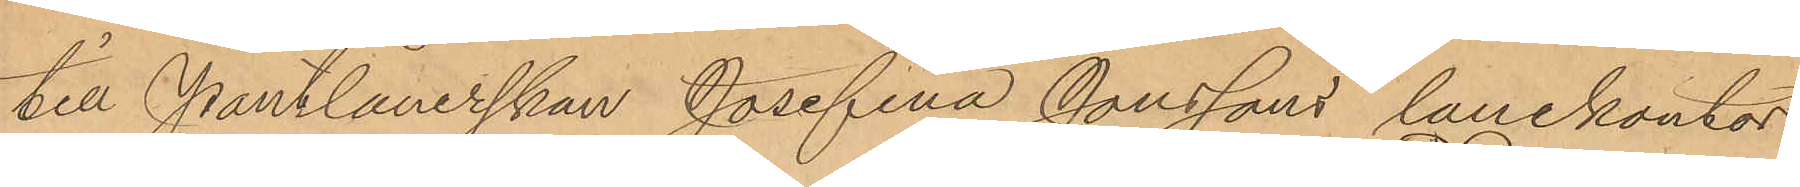till Pantlånerskan Josefina Jonssons lanekontor
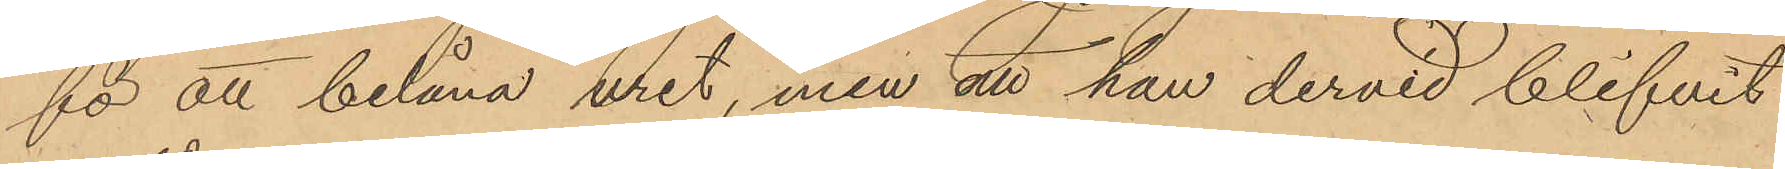för att belåna uret, men att han dervid blifvit
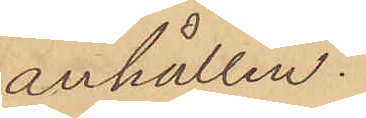anhållen.
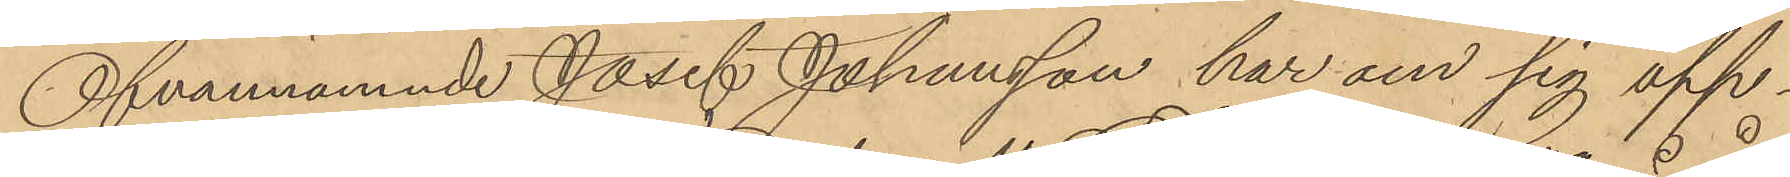Ofvannämnde Josef Johansson har om sig upp¬
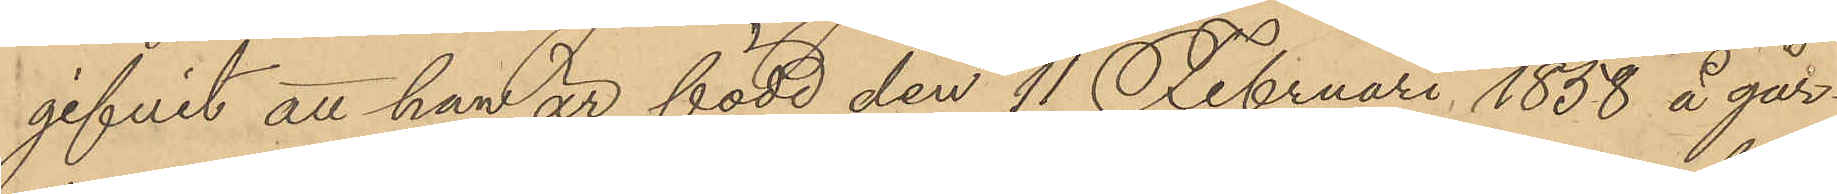gifvit att han är född den 11 Februari 1858 å går¬
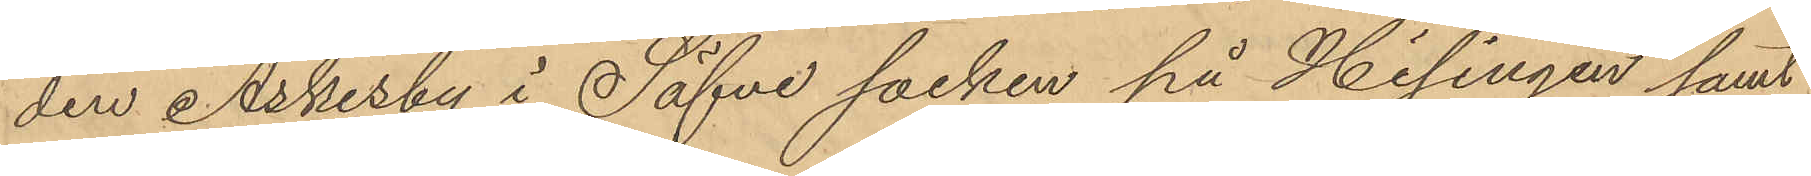den Askesby i Säfve socken på Hisingen samt
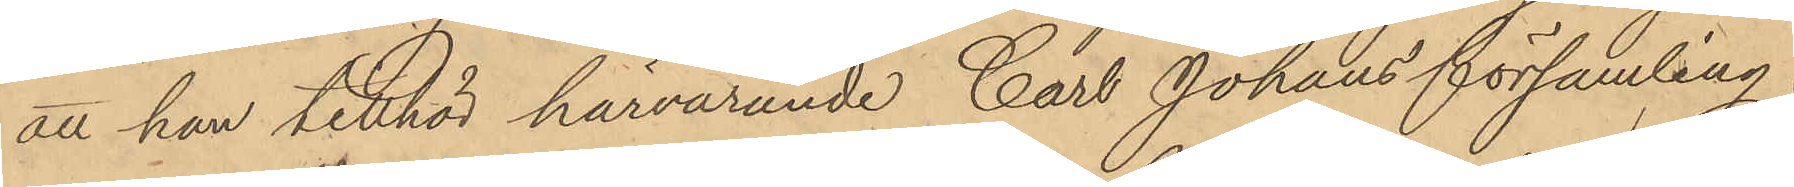att han tillhör härvarande Carl Johans församling.
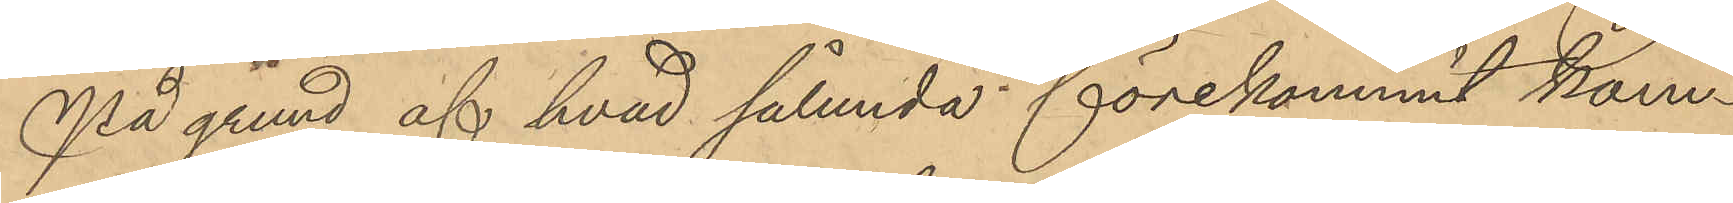På grund af hvad sålunda förekommit kom¬
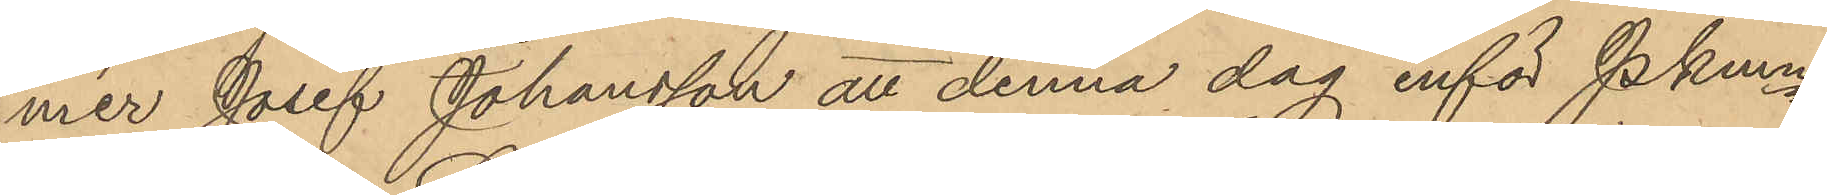mer Josef Johansson att denna dag inför Pkmn
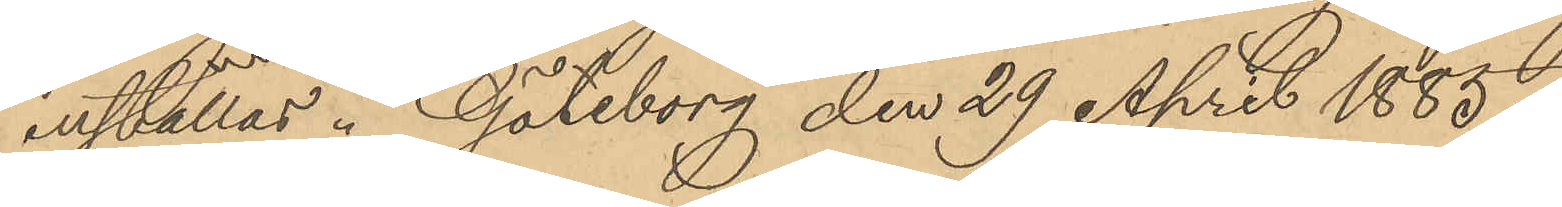inställas. Göteborg den 29 April 1885
